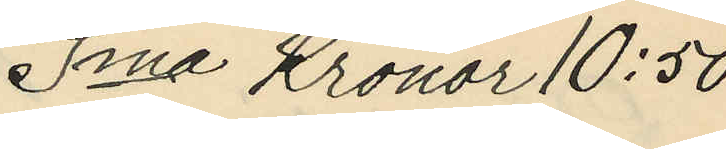Sma Kronor 10:50
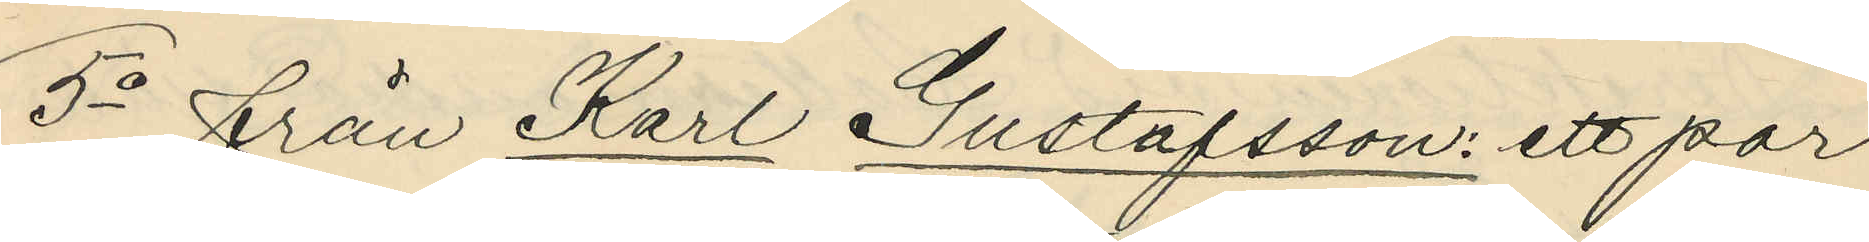5o från Karl Gustafsson: ett par
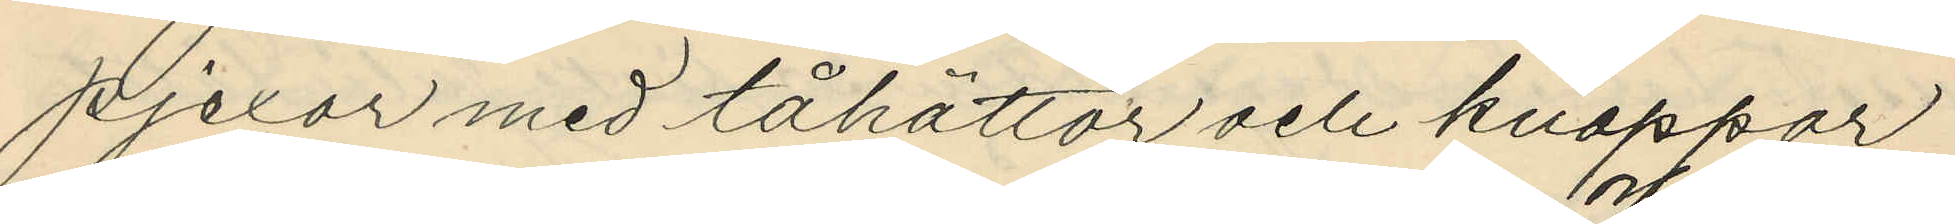pjexor med tåhättor och knappar
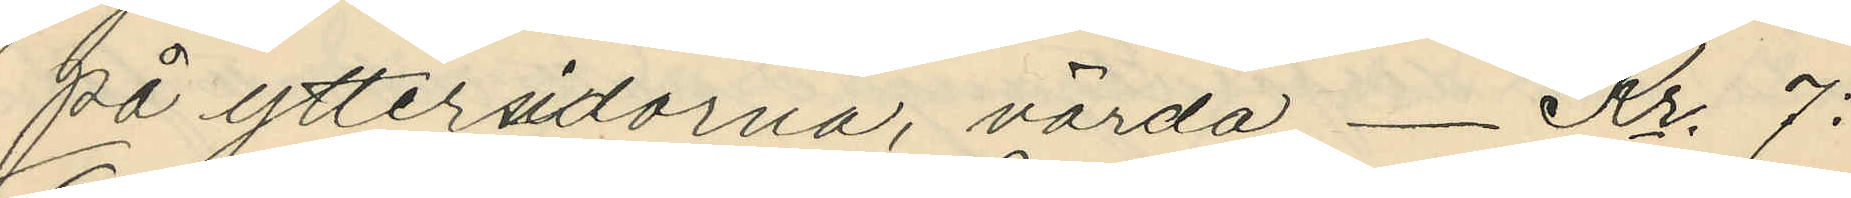på yttersidorna, värda _ Kr. 7:
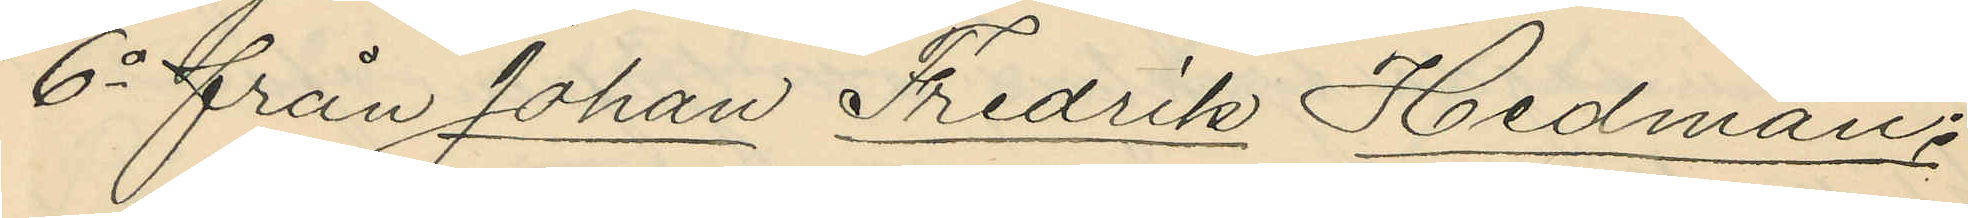6o från Johan Fredrik Hedman:
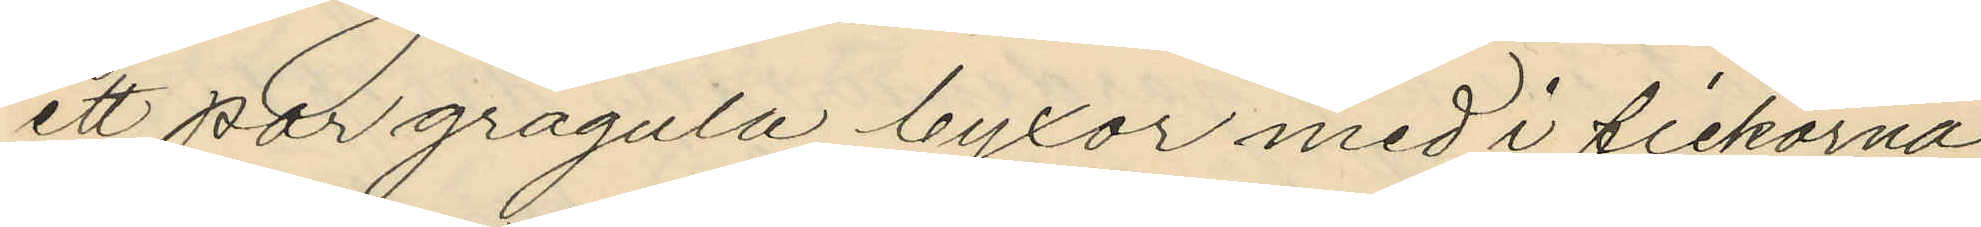ett par grågula byxor med i fickorna
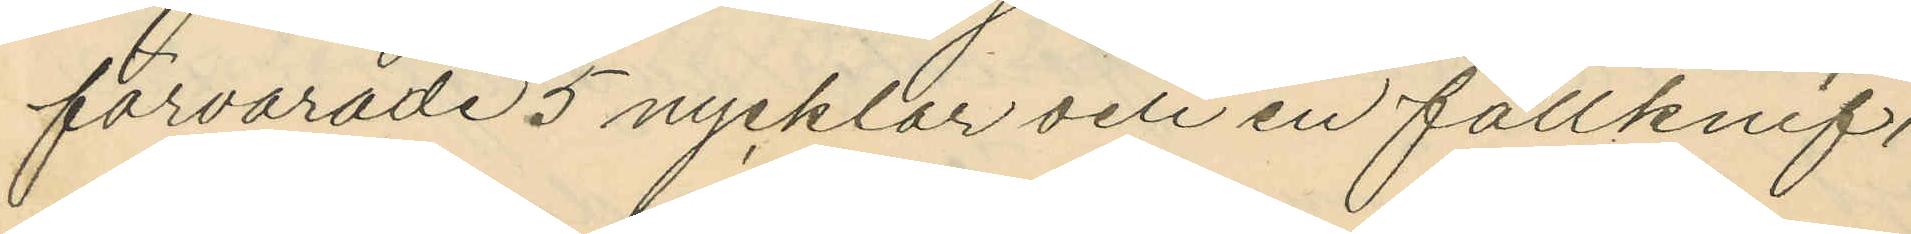förvarade 5 nycklar och en fällknif,
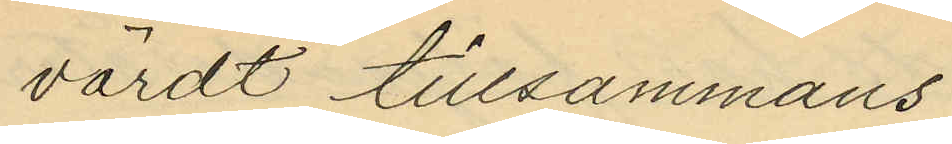värdt tillsammans
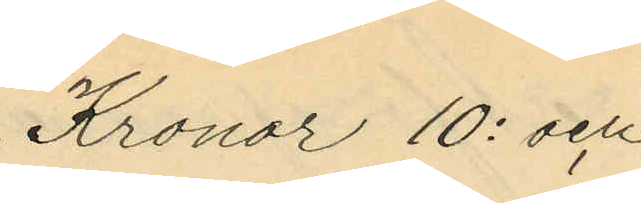Kronor 10: och
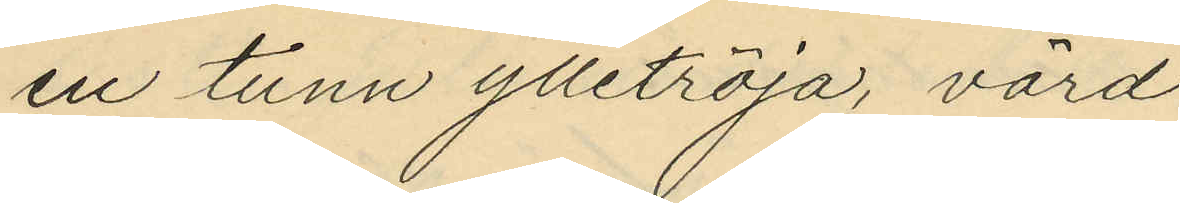en tunn ylletröja, värd
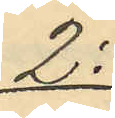2:
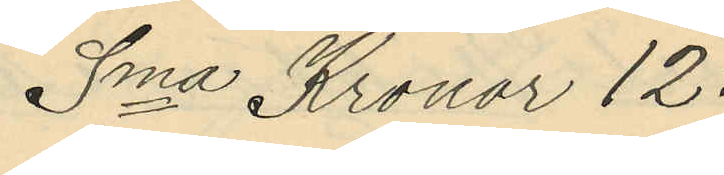Sma Kronor 12:
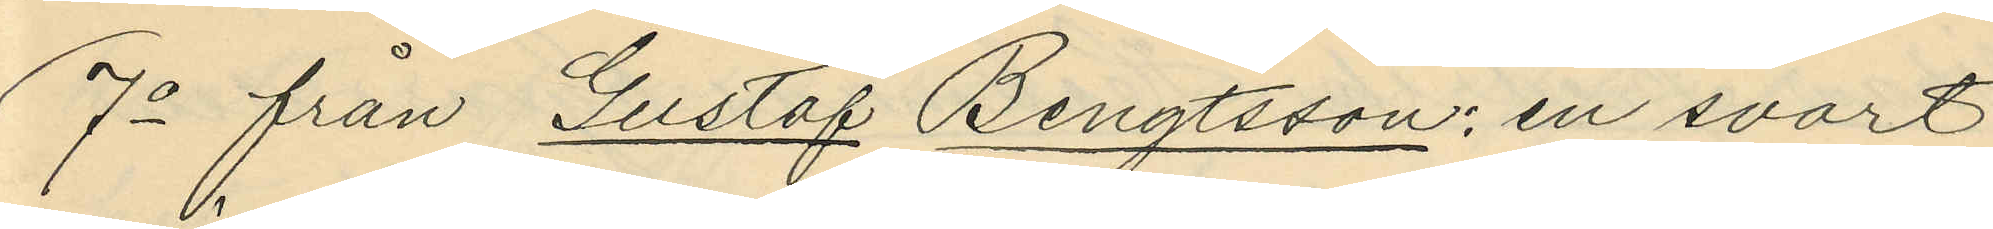7o från Gustaf Bengtsson: en svart
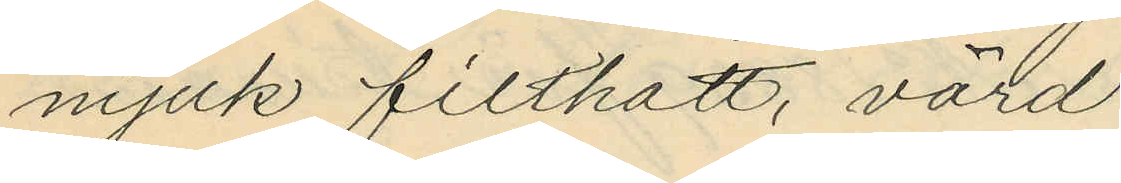mjuk filthatt, värd
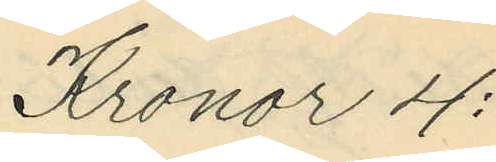Kronor 4:
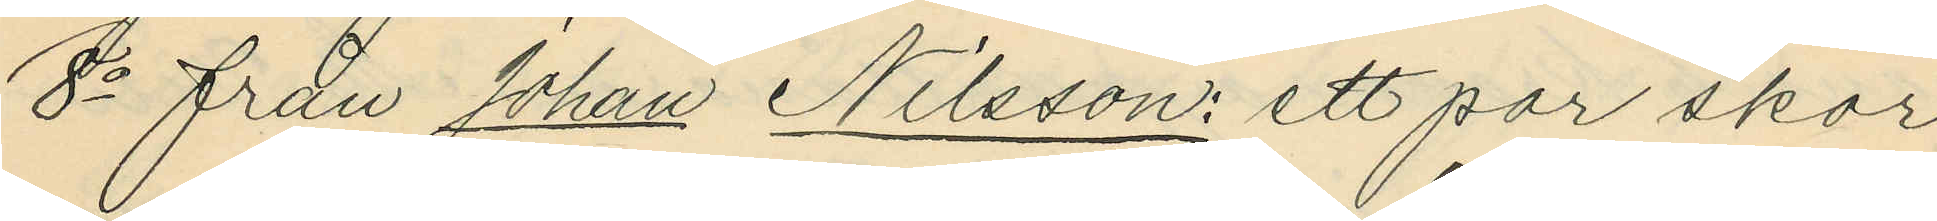8o från Johan Nilsson: ett par skor
